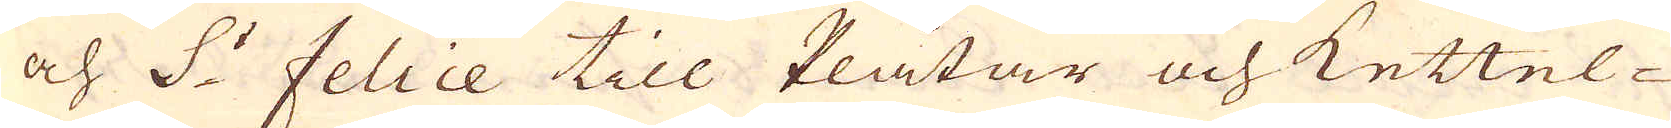och S:t felice till Plåtar och Kettel-
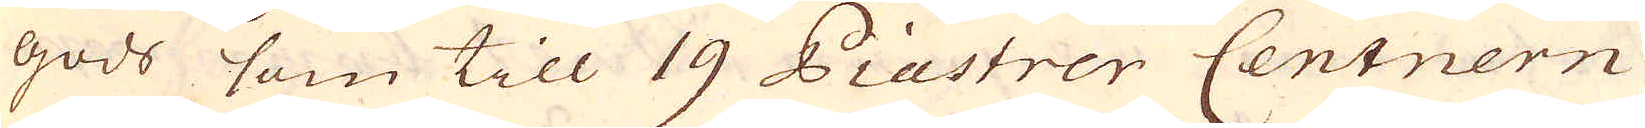gods som till 19 Piastrer Centnern
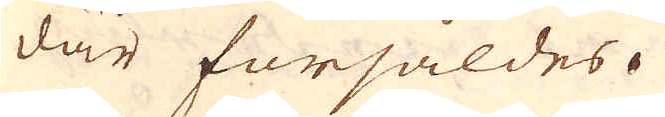där försåldes.
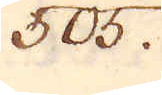505.
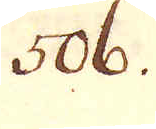506.
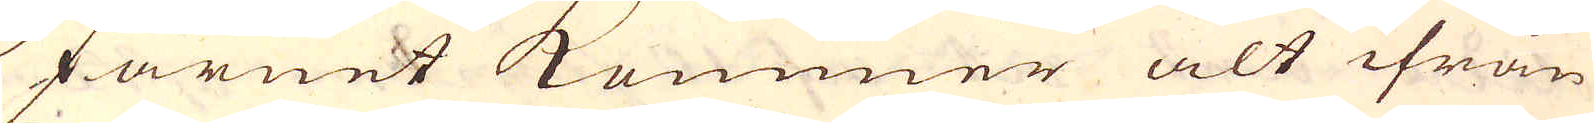Järnet kommer alt ifrån
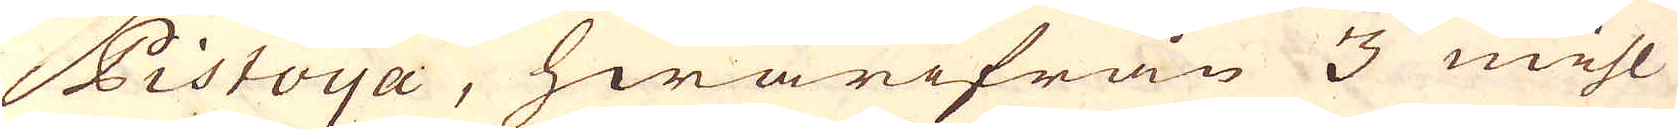Pistoya, hwarifrån 3 mihl
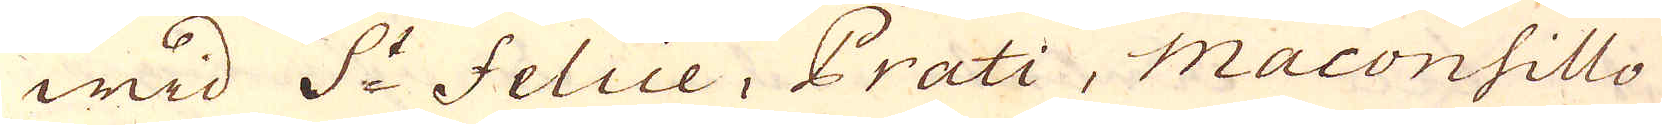wid S:t Felice, Prati, Maconsillo
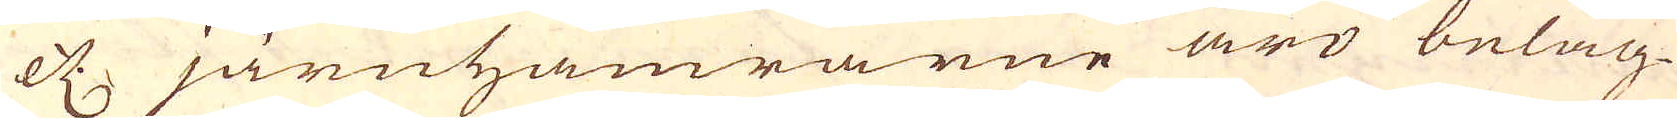etc järnhamrarne äro beläg-
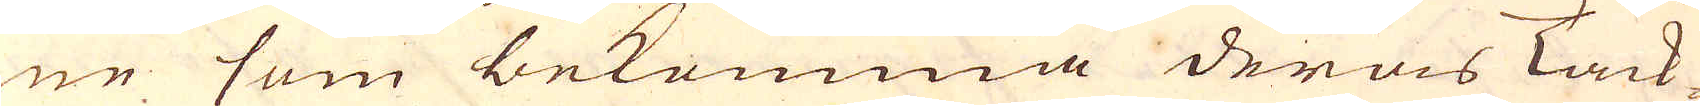ne som bekomma deras Tack-
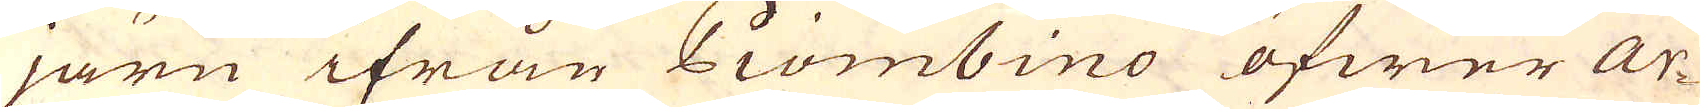järn ifrån Piombino öfwer Ar-
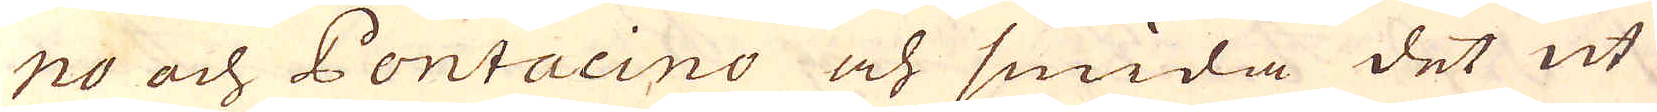no och Pontacino och smida det ut
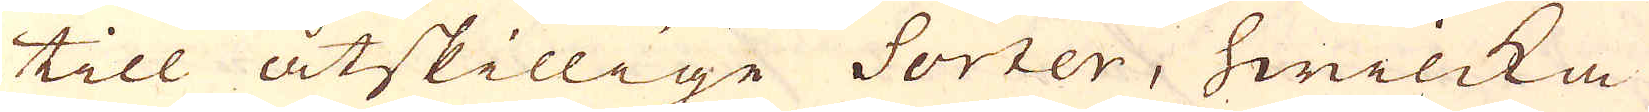till åtskillige Sorter, hwilcka
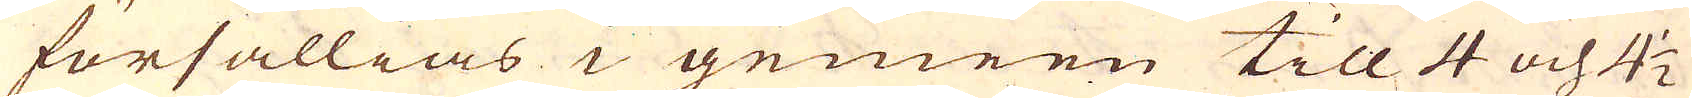försällias i gemeen till 4 och 4 1/2
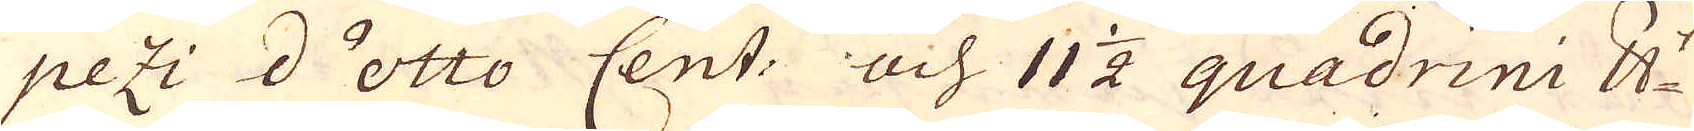pezi d'otto Cent: och 11 1/2 quadrini skålpundet
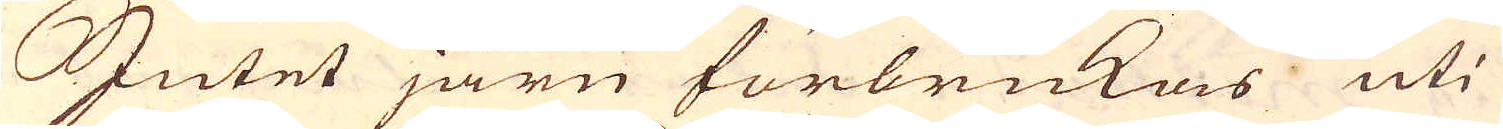Jutet järn förbrukas uti
